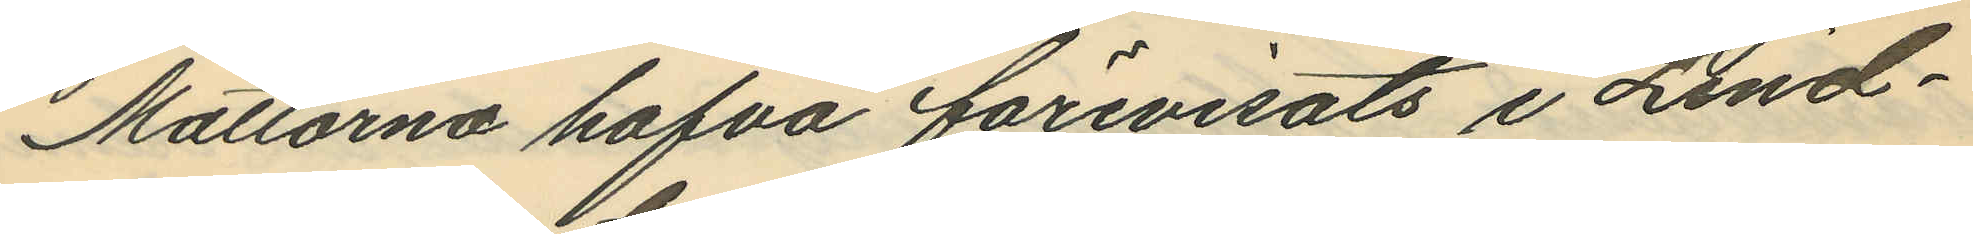Mattorna hafva förevisats i Lind¬
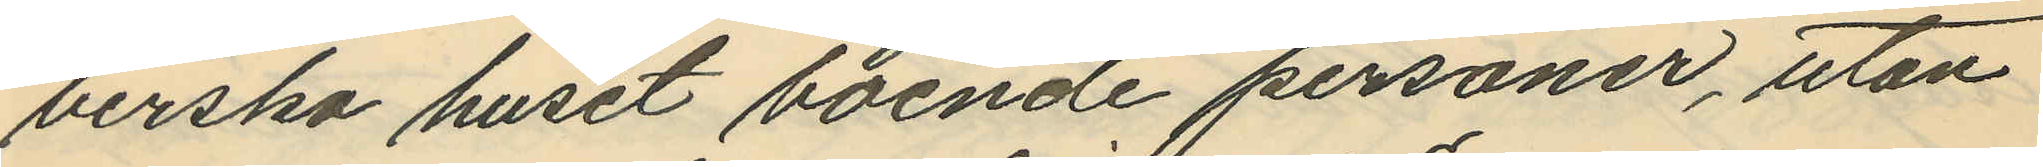berska huset boende personer, utan
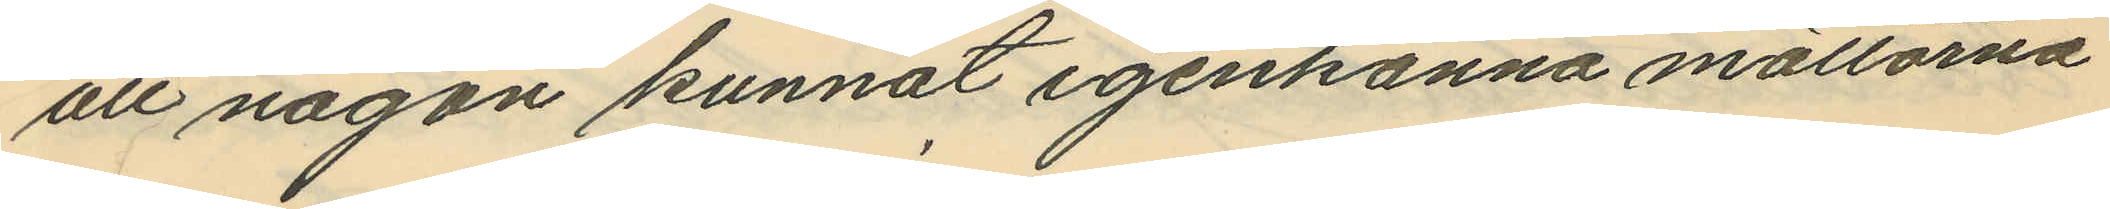att någon kunnat igenkänna mattorna
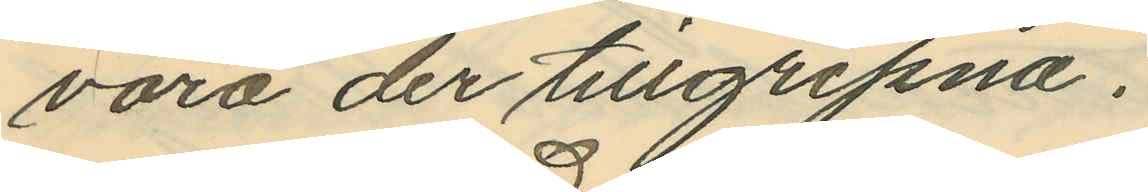vara der tillgripna.
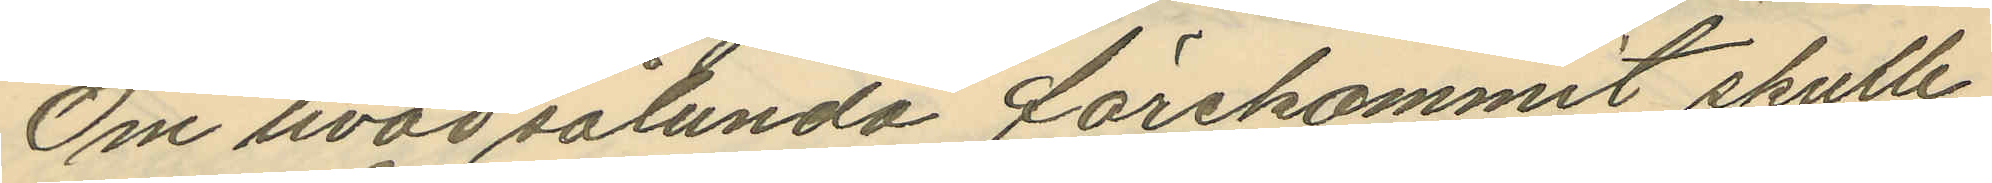Om hvad sålunda förekommit skulle
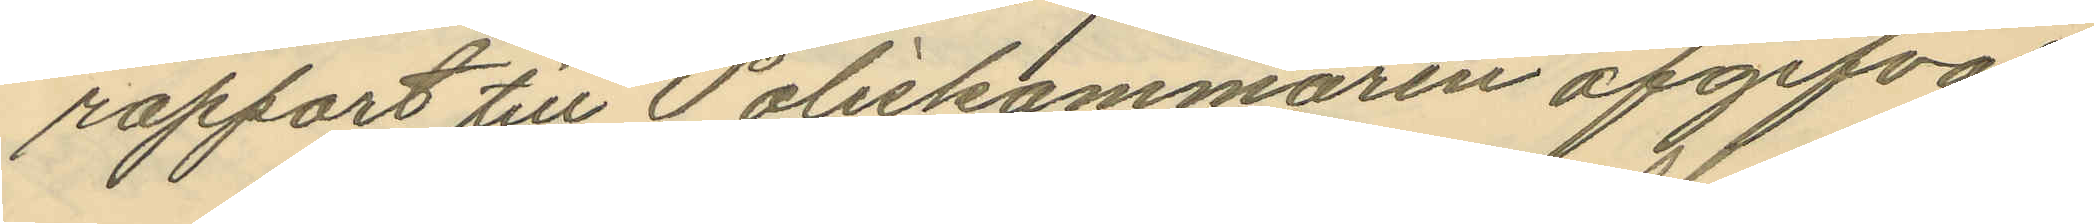rapport till Poliskammaren afgifvas.
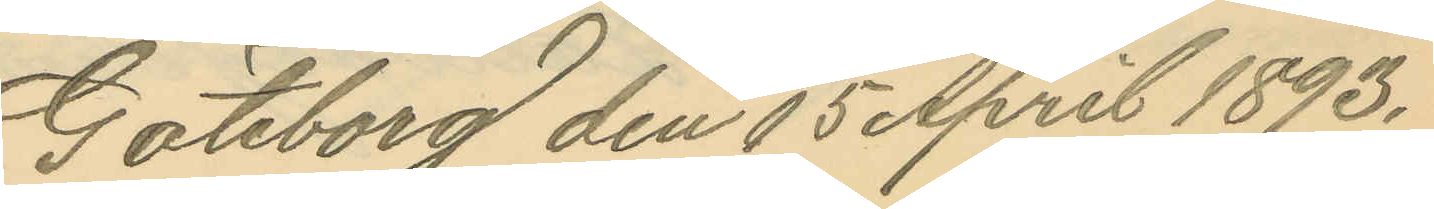Göteborg den 15 April 1893.
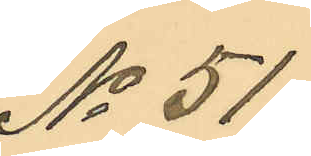No 51.
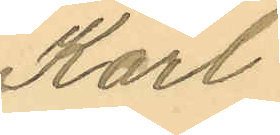Karl
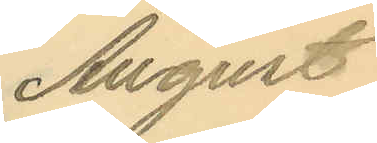August
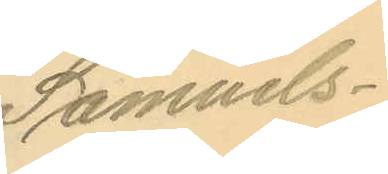Samuels¬
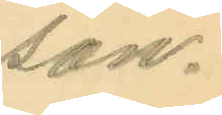son.
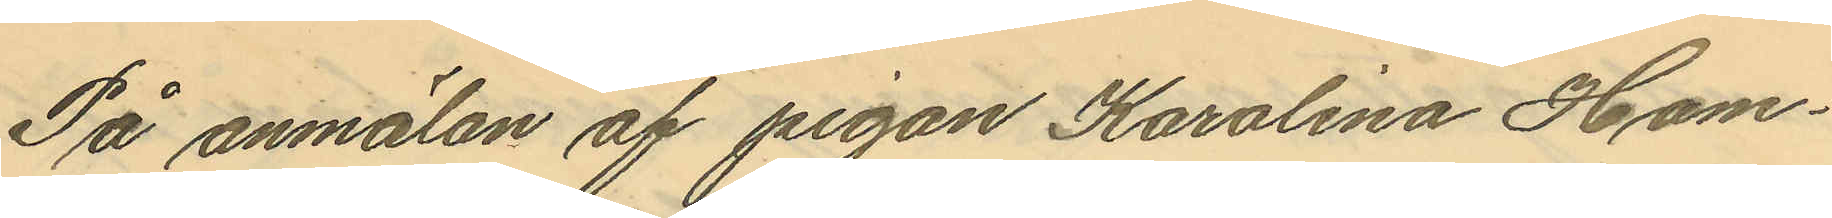På anmälan af pigan Karolina Ham¬
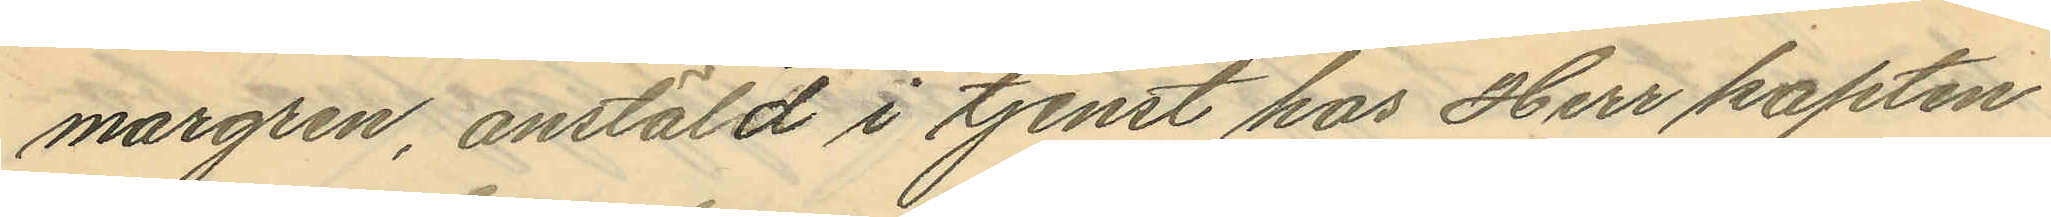margren, anstäld i tjenst hos Herr kapten
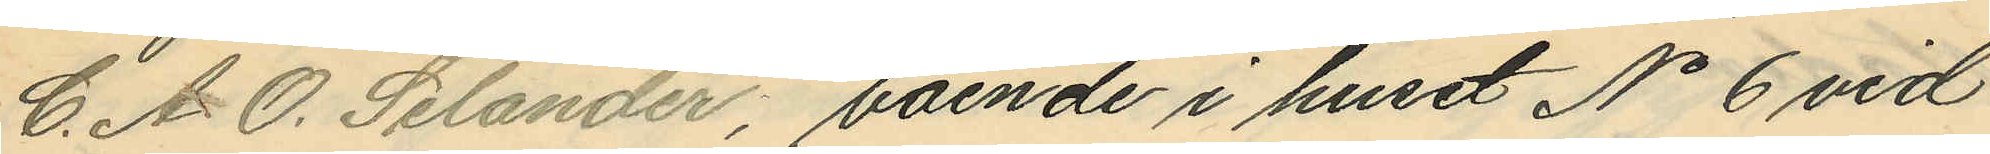C. A. O. Selander, boende i huset No 6 vid
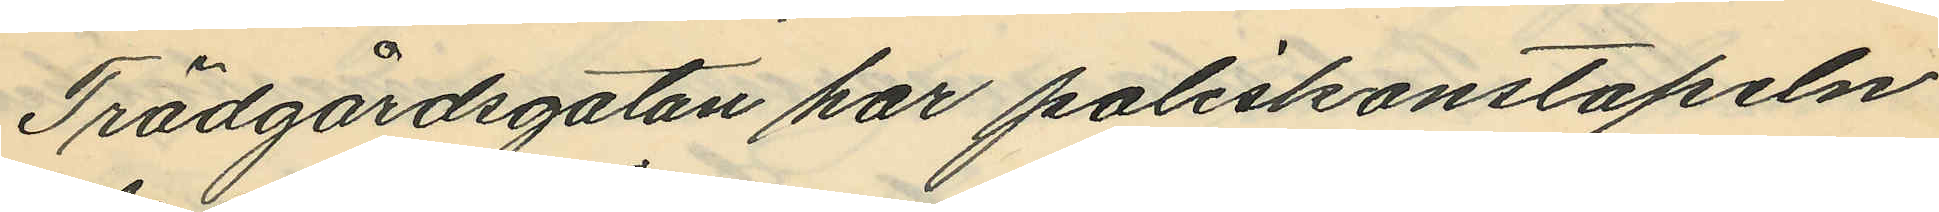Trädgårdsgatan har poliskonstapeln
